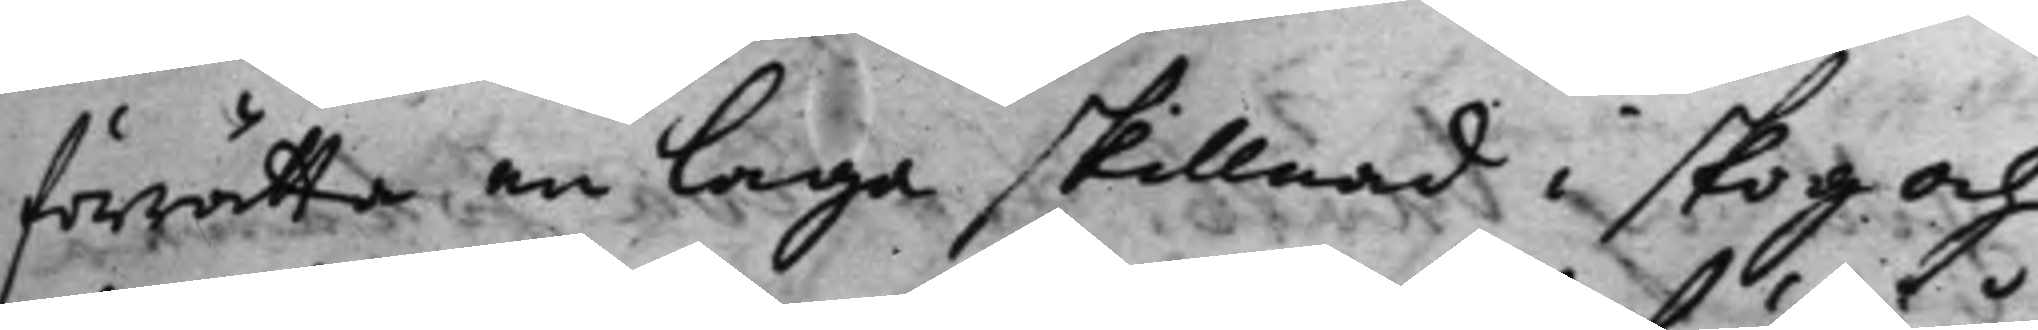förrätta en Laga skillnad i skog och
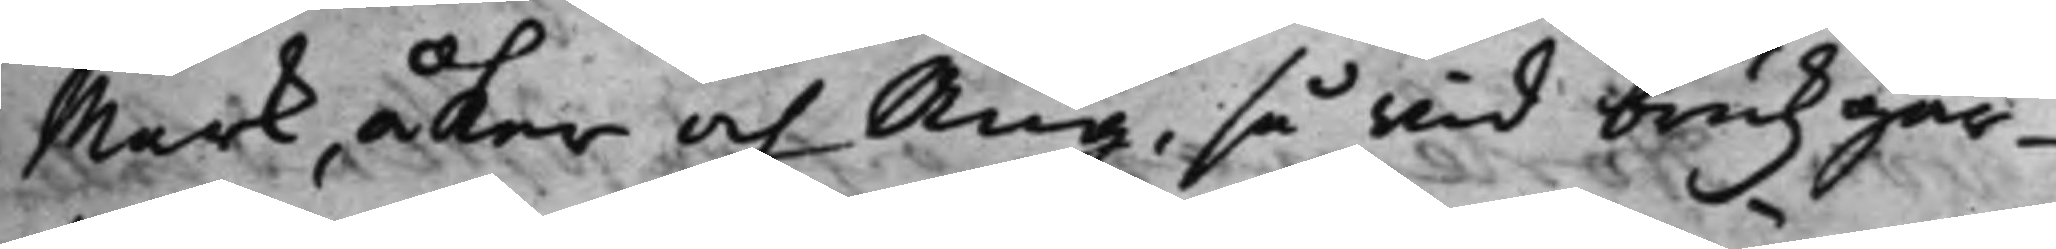Mark, Åker och Äng, så wid brukzgår¬
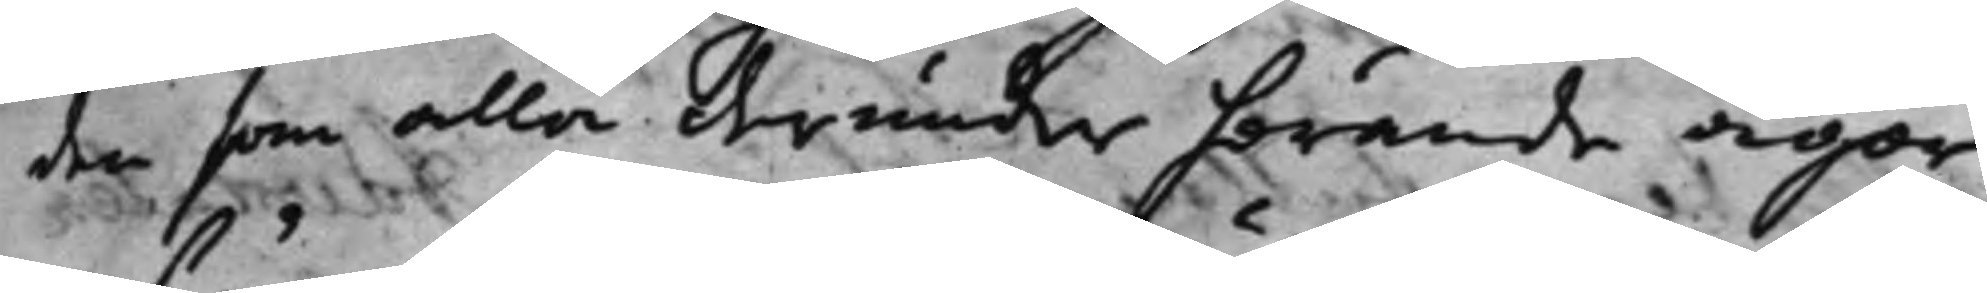den som alla derunder hörande ägor
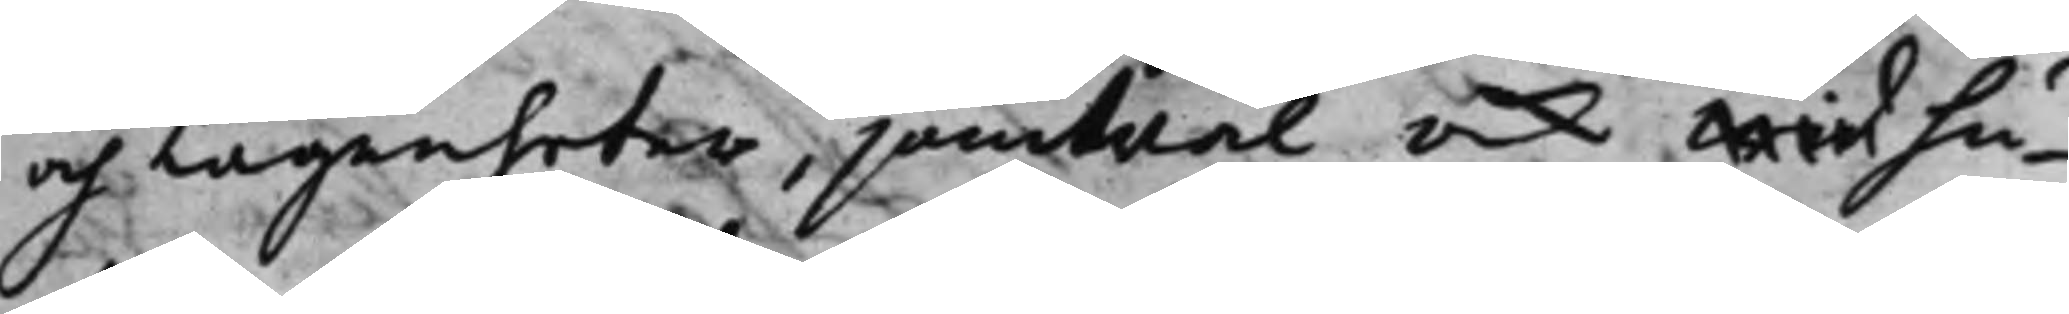och Lägenheter, jämbwäl ock wid hu¬
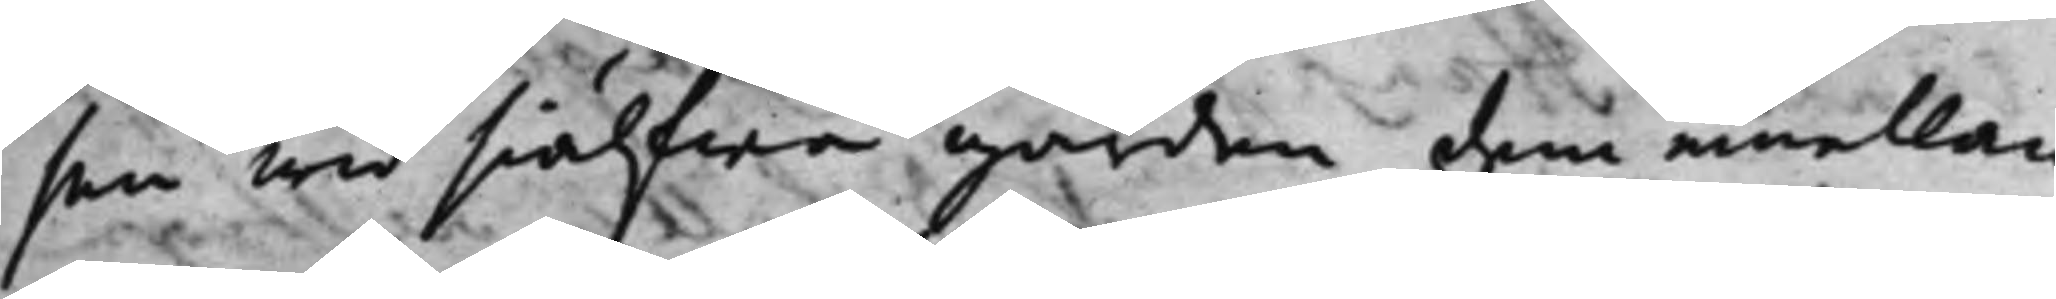sen wid siälfwa gården dem emellan
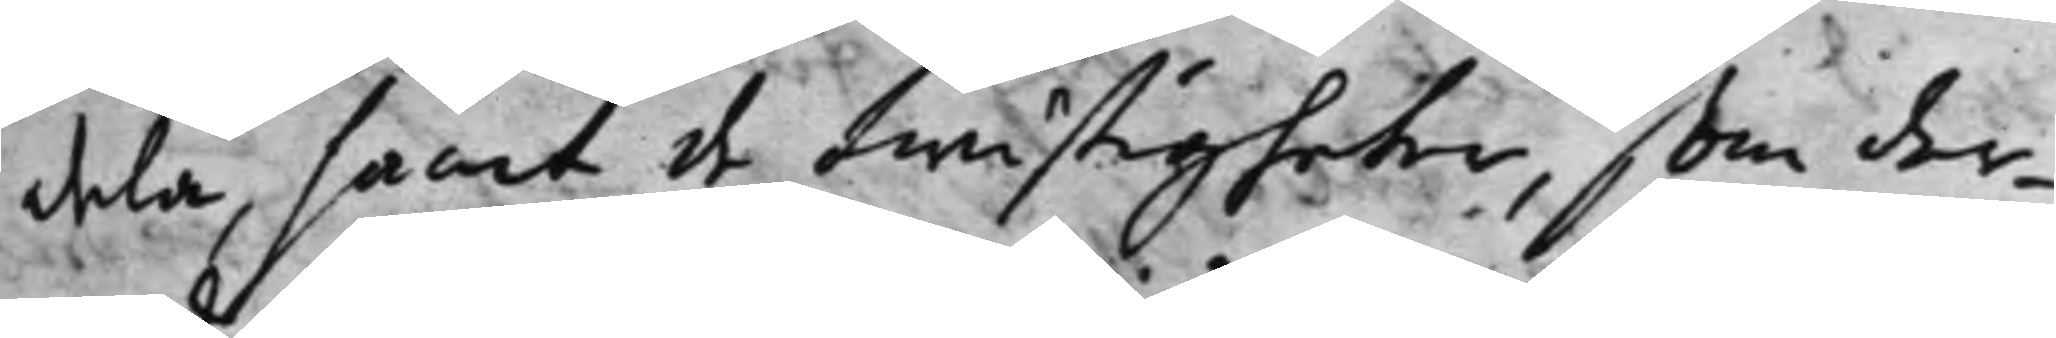dela, samt de twistigheter, som der¬
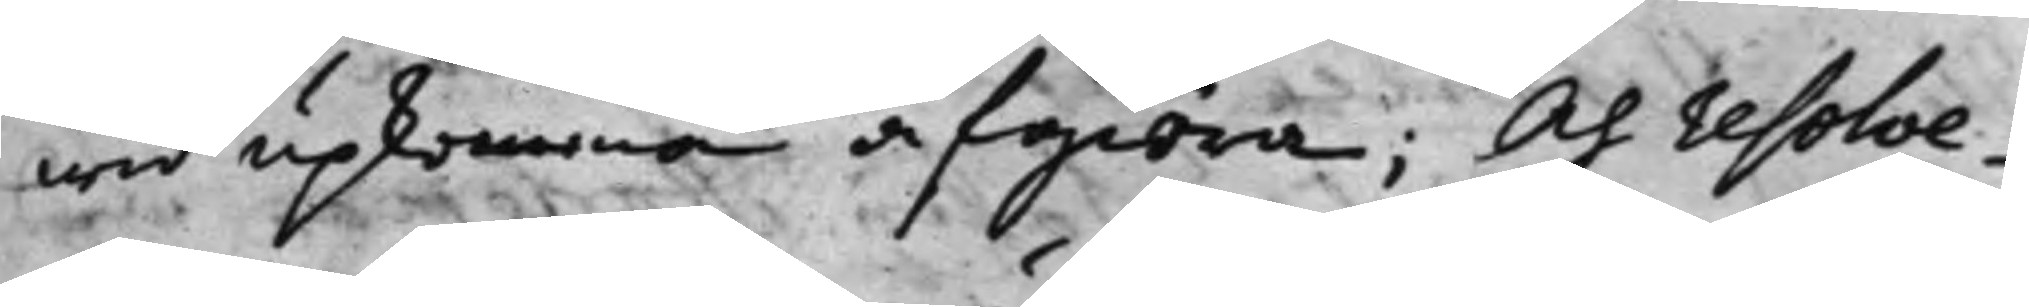wid upkomma afgiöra; Och resolve¬
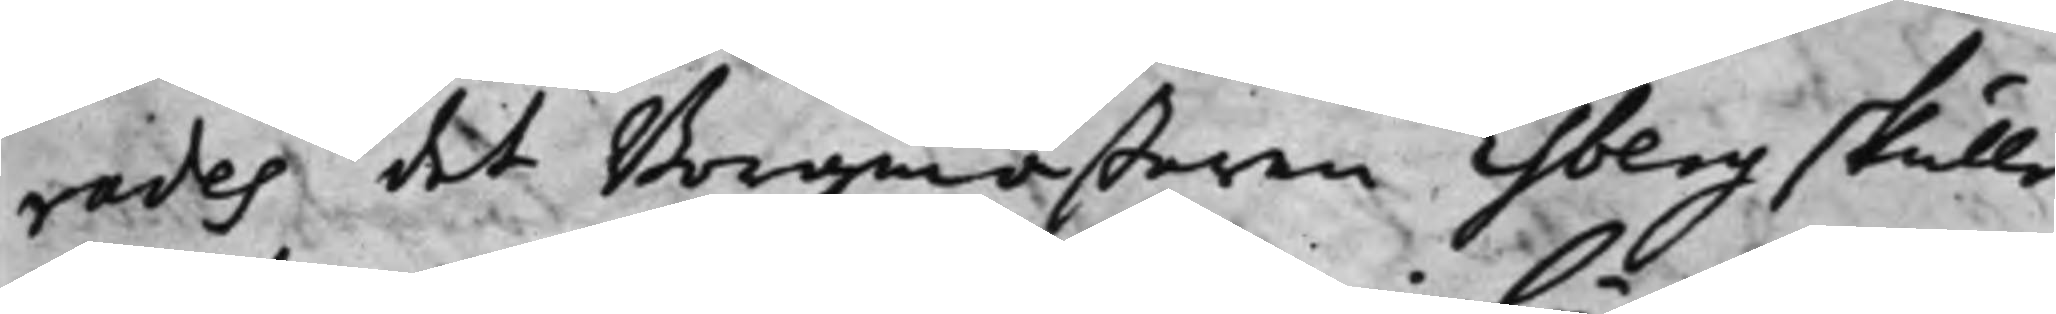rades, det Borgmästaren Esberg skulle
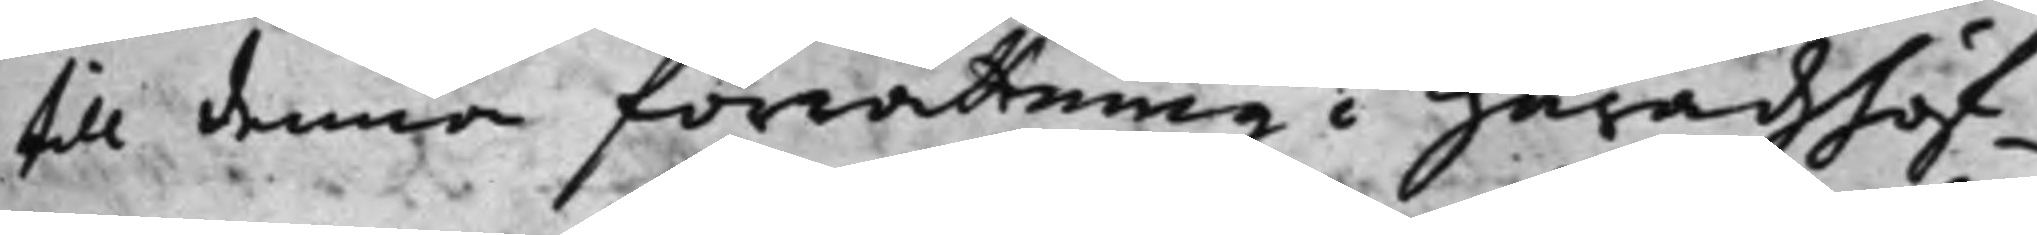till denna förrättning i Häradzhöf¬
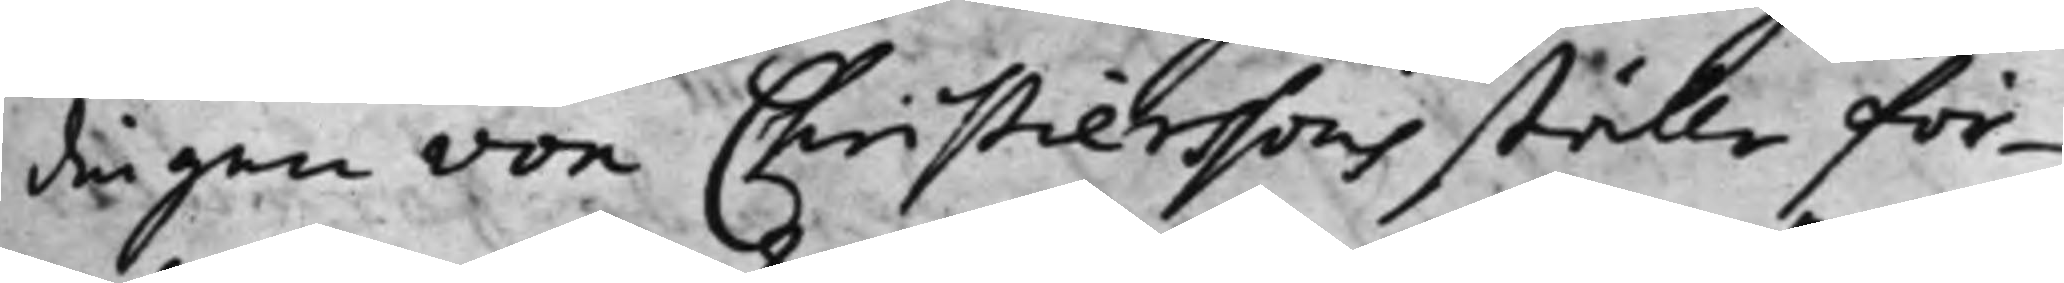dingen von Christierssons ställe för¬
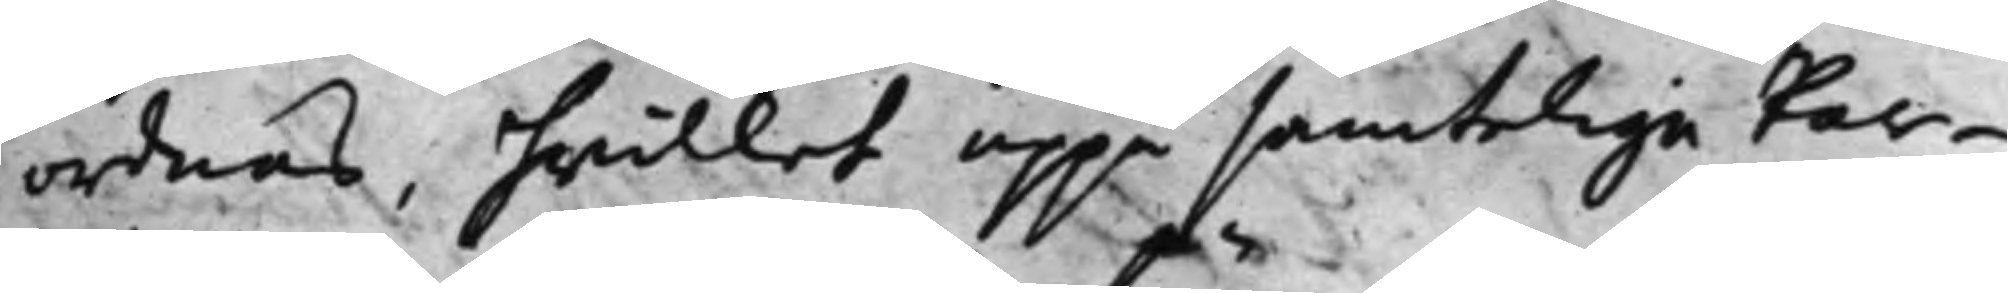ordnas, hwilket uppå samteliga Par¬
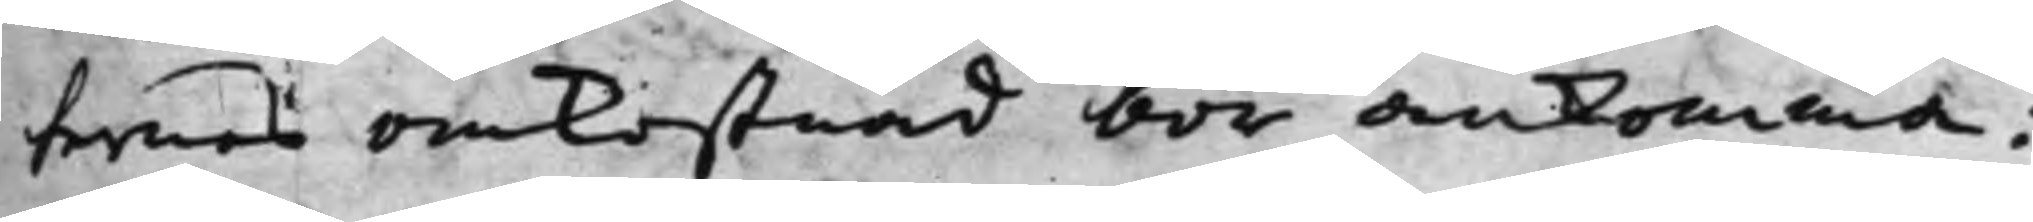ternes omkostnad bör ankomma;
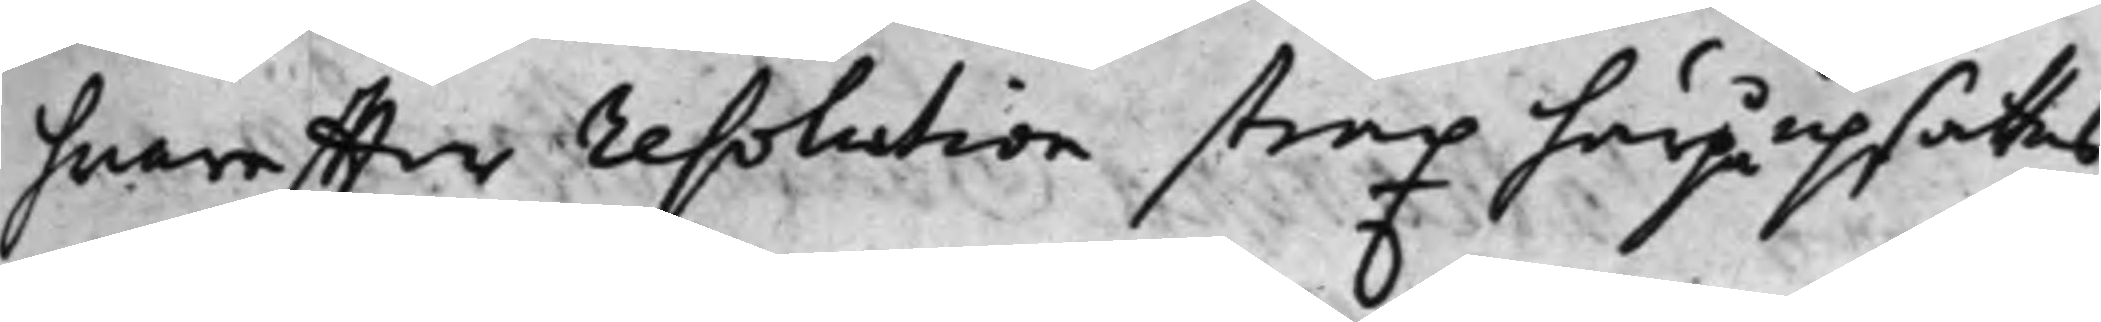hwareffter resolution strax härpå upsattes
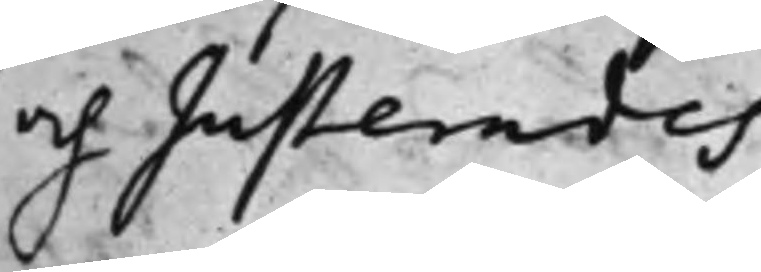och Justerades.
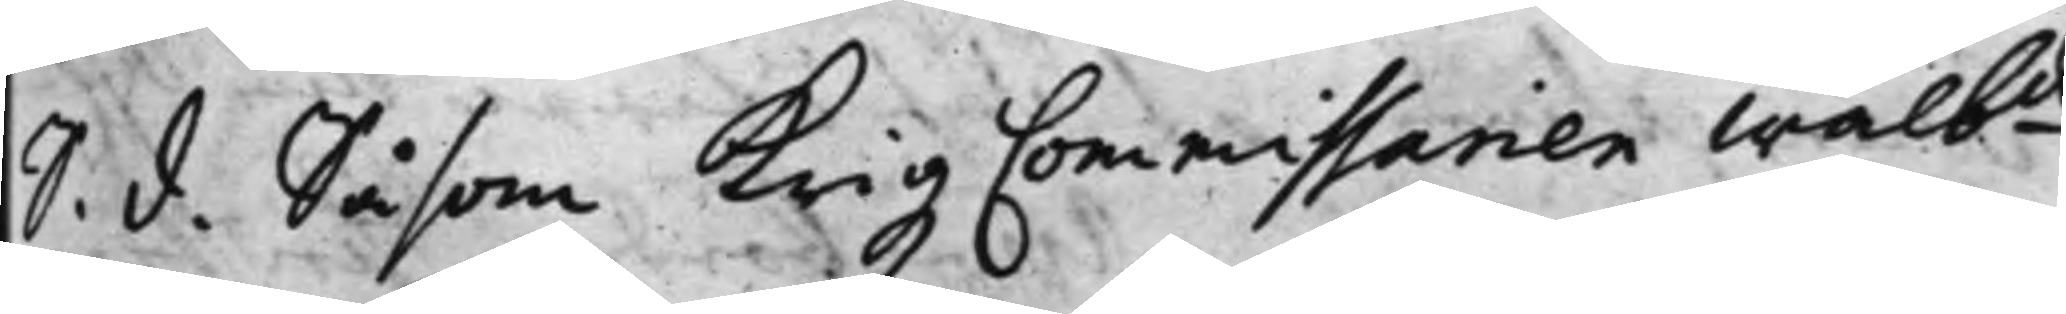S. d. Såsom Krigz Commissarien Wälbde
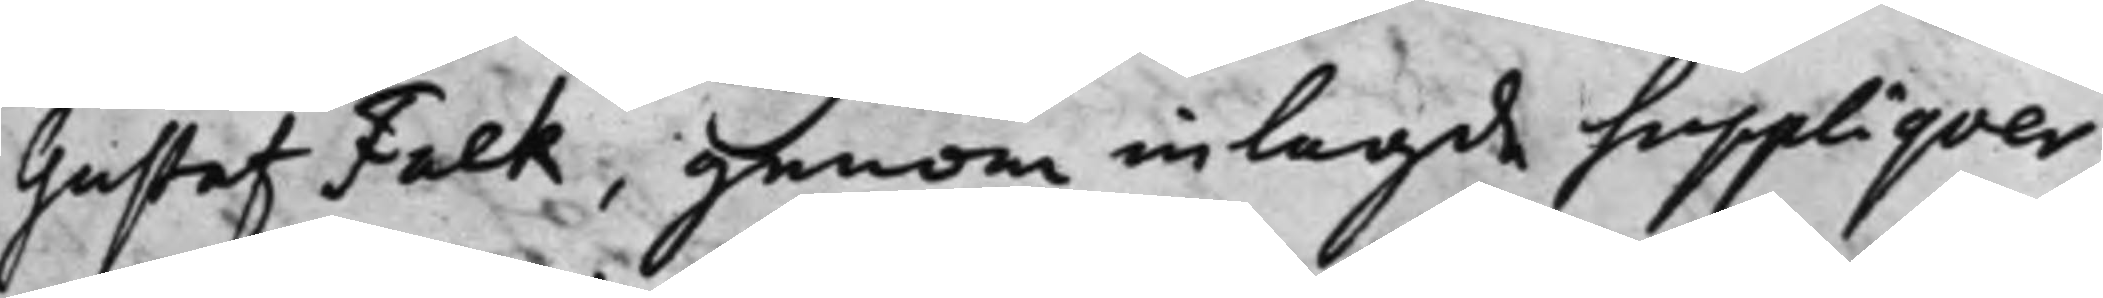Gustaf Falk, genom inlagde Suppliqver,
